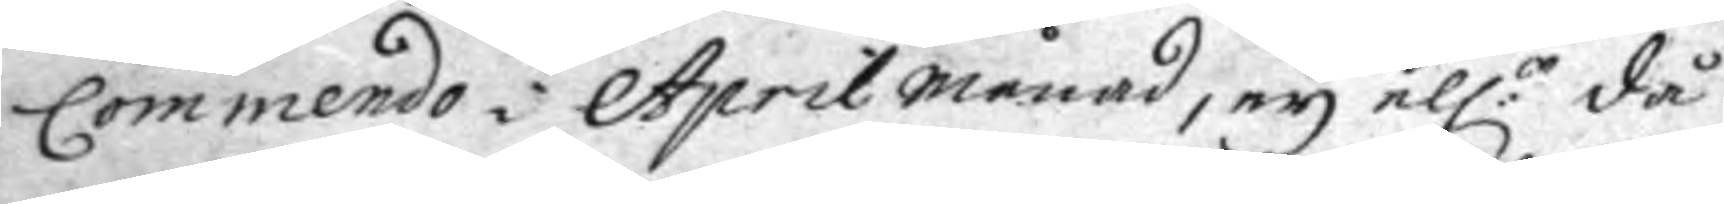Commendo i April månad, ey ell:r då
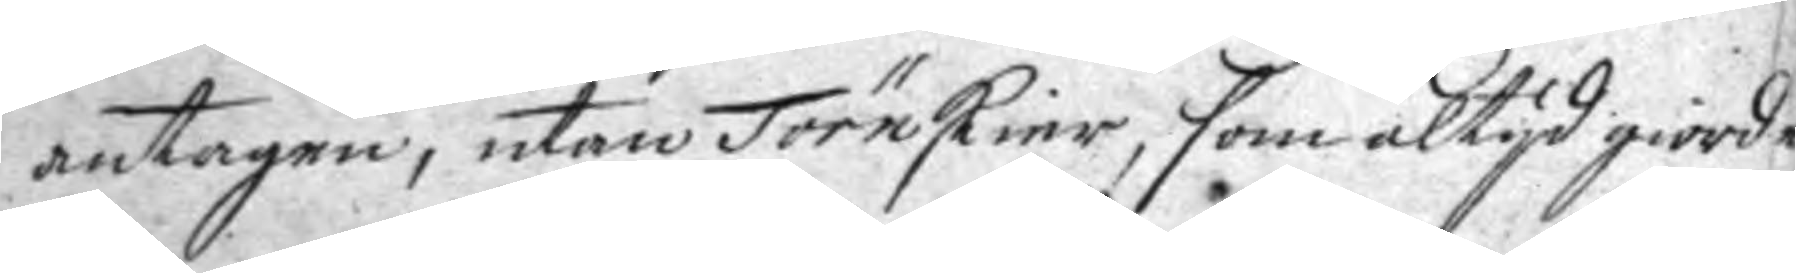antagen, utan Törnskier, som altyd giorde
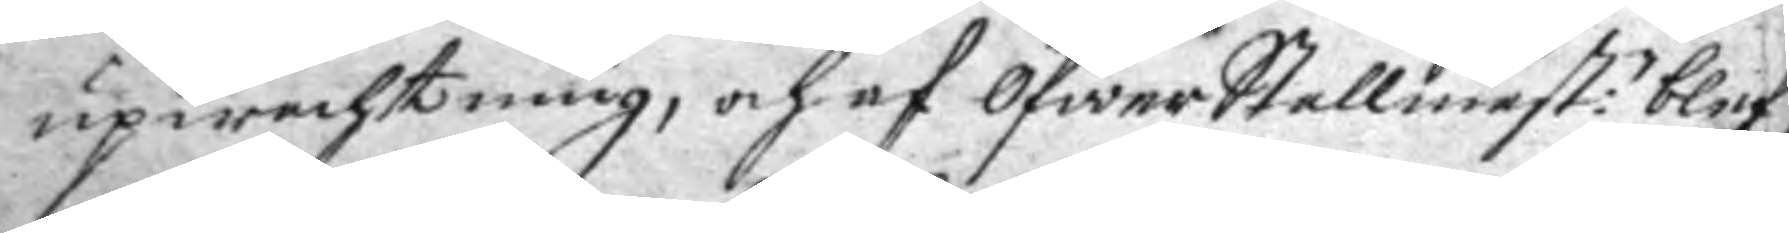upwachtning, och af ÖfwerStallmest:n blef¬
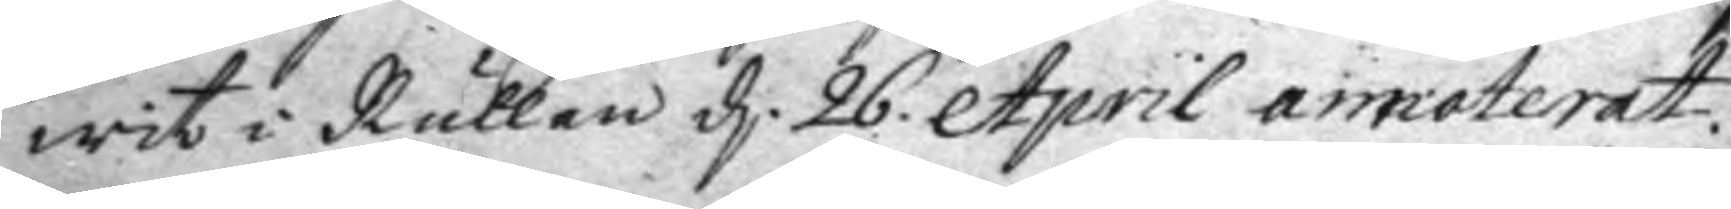wit i Rullan d. 26. April annoterat.
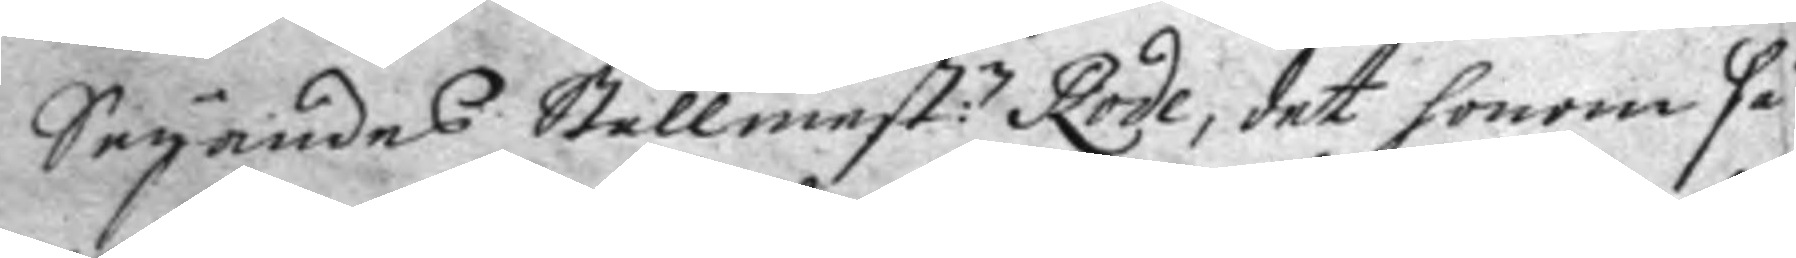Seyandes Stallmest:n Rode, det honom så
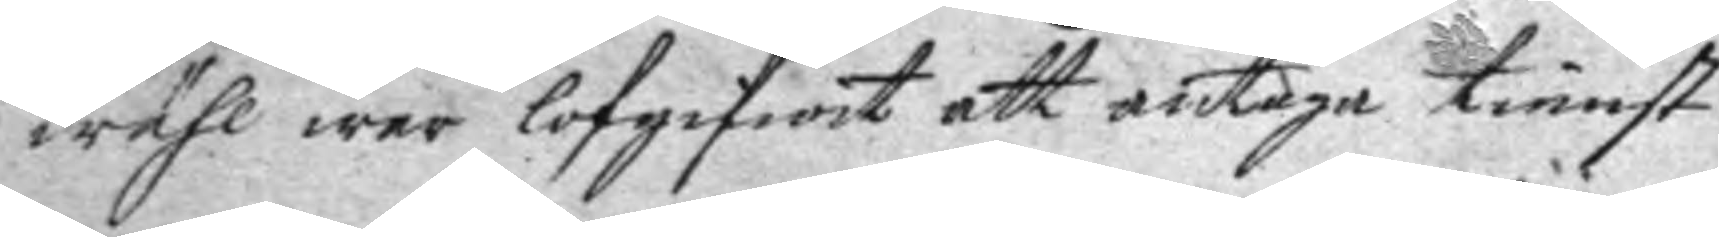wähl war lofgifwit att antaga tienst
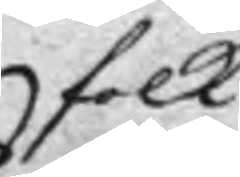folk
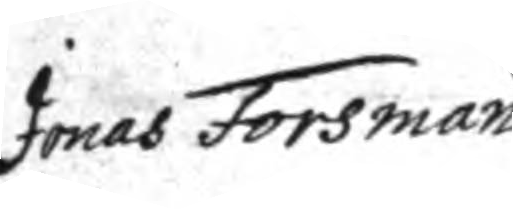Jonas Forsman
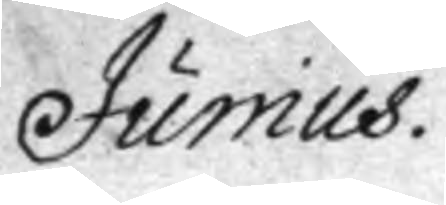Junius.
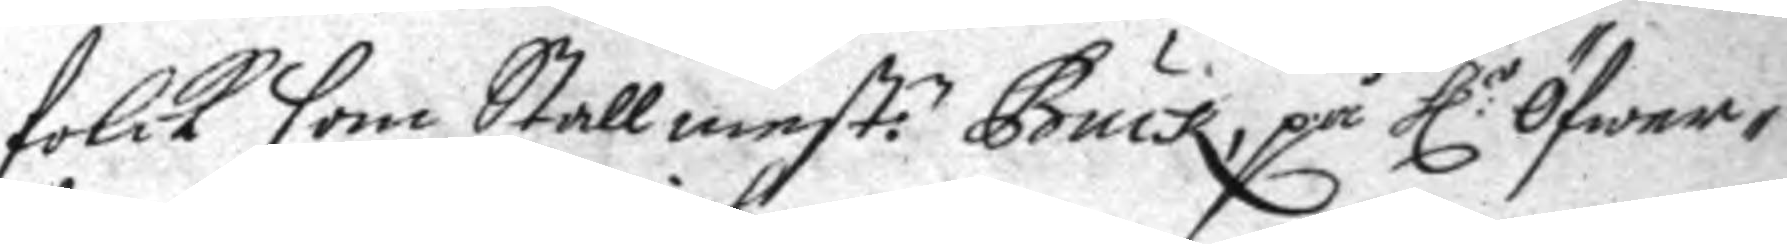folck som Stallmest:n Busk, på h:r öfwer¬
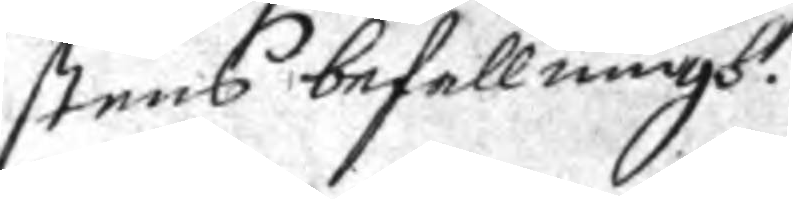stens befallningh.
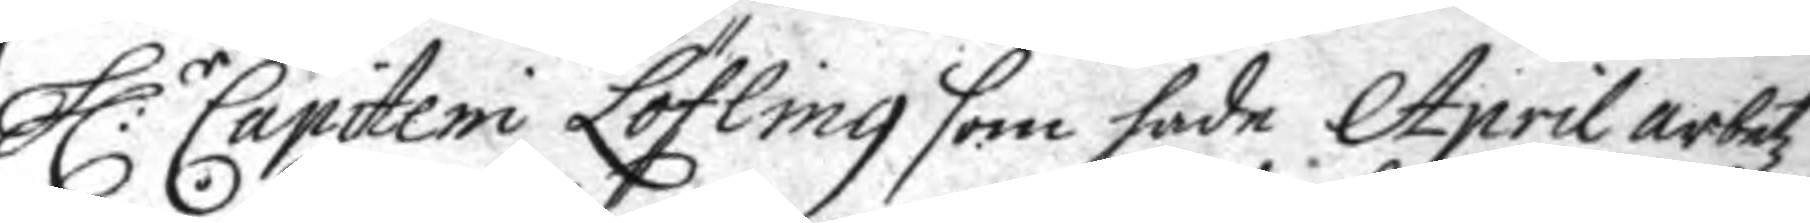h:r Capiteni Löfling som hade April arbetz
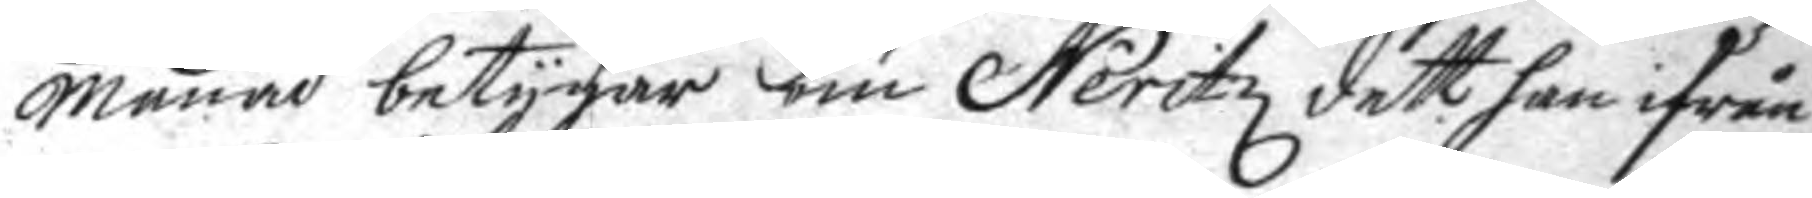månad betygar om Neritz dett han ifrån
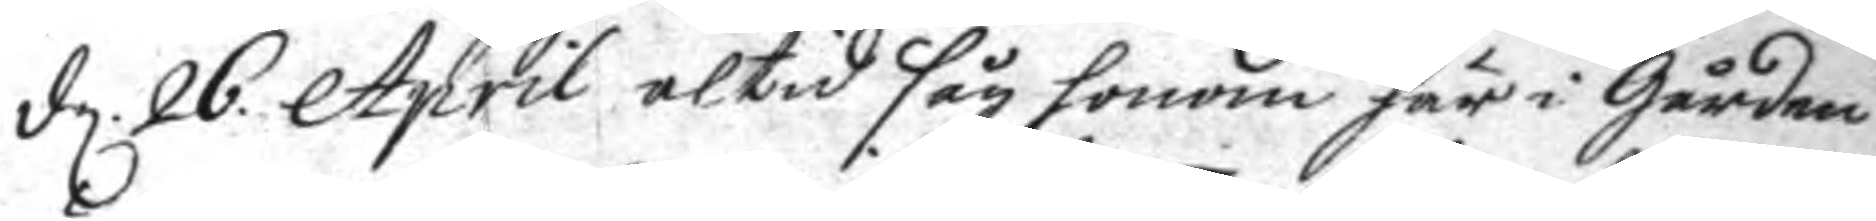d. 26. April altid såg honom här i Gården
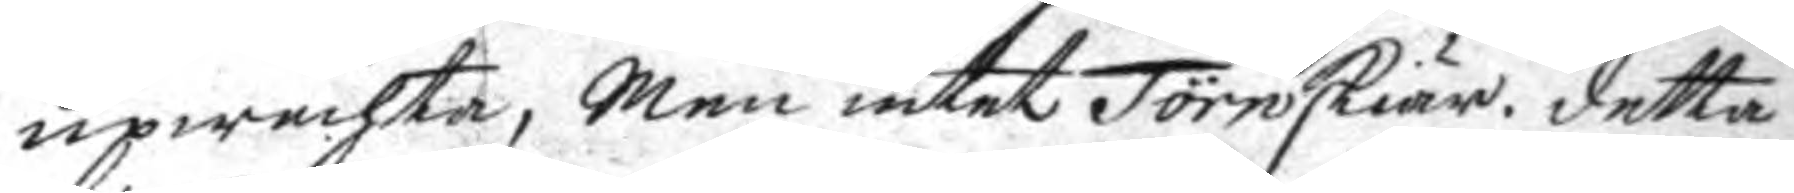upwachta, Men intet Törnskiär, detta
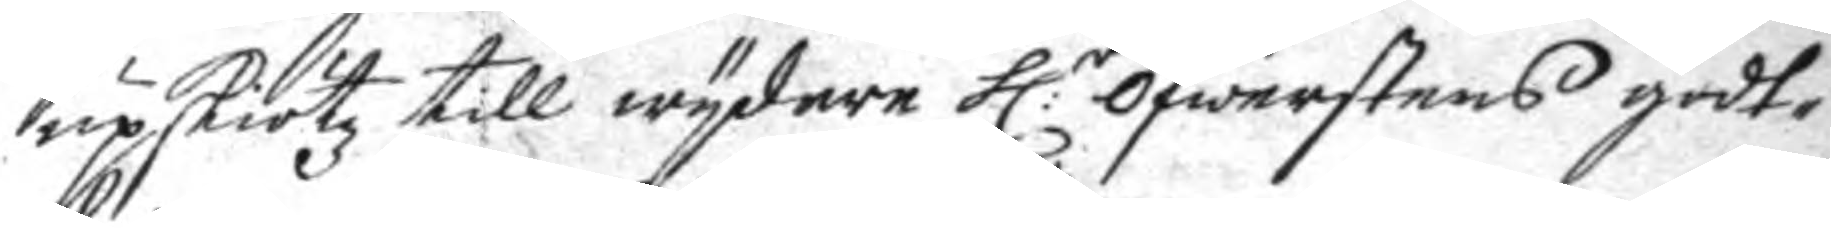upskiötz till wydare h:r öfwerstens godt¬
